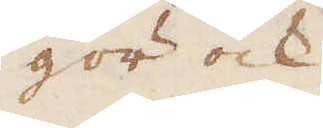gör ock
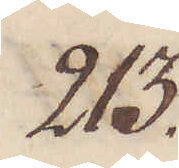213.
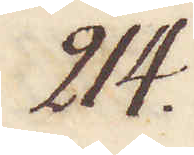214.
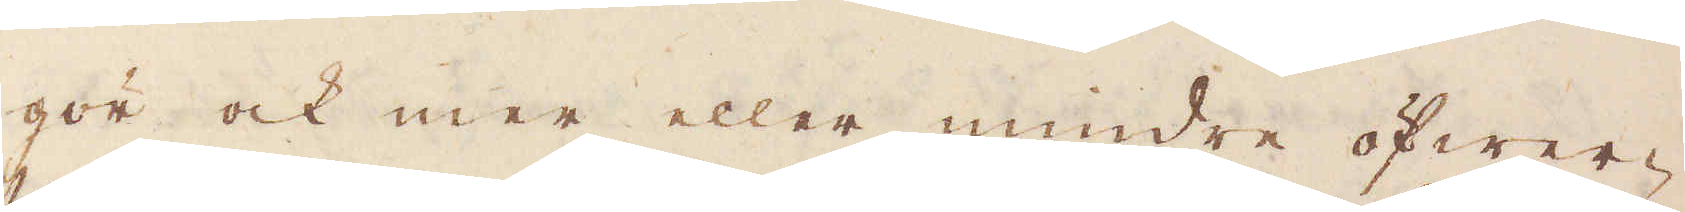gör ock mer eller mindre öfwer-
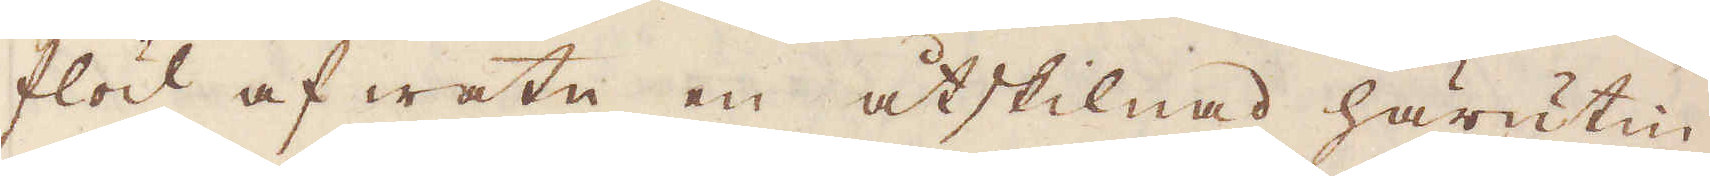flöd af watn en åtskillnad härutin-
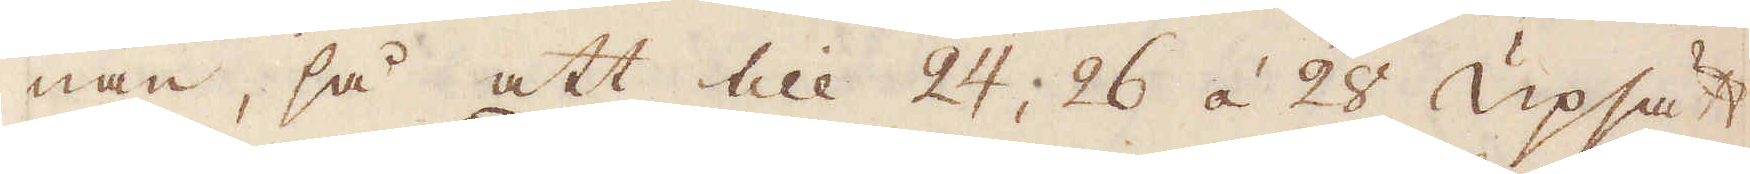nan, så att till 24; 26 á 28 upsätt-
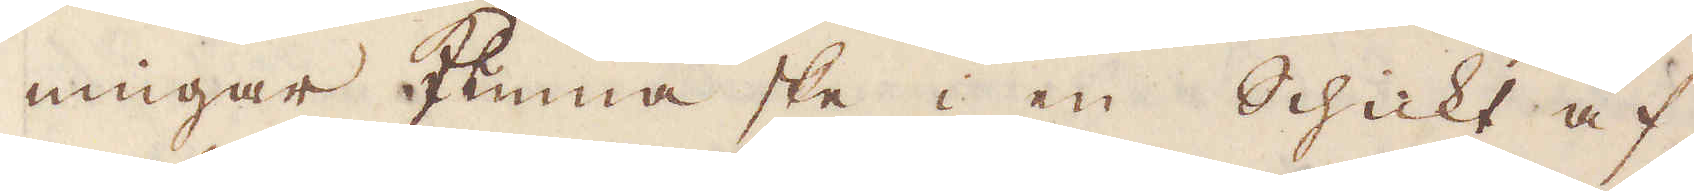ningar hinna ske i en Schickt af
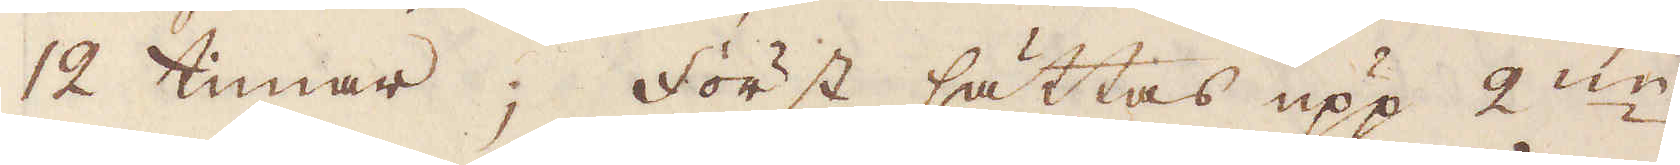12 timar; först sättas upp 2:ne
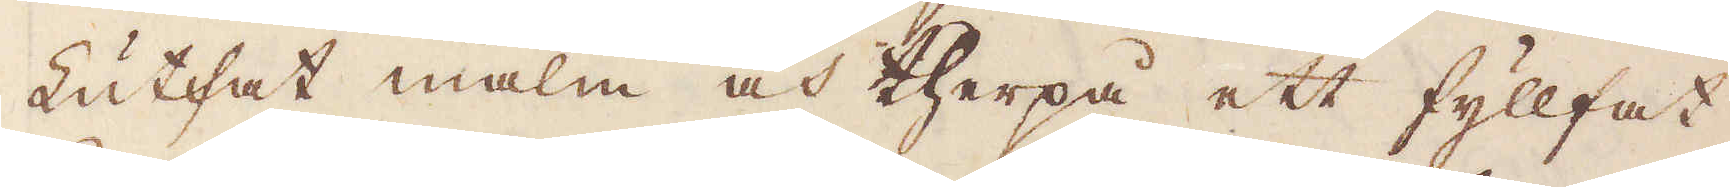Lutfat malm och therpå ett fyllfat
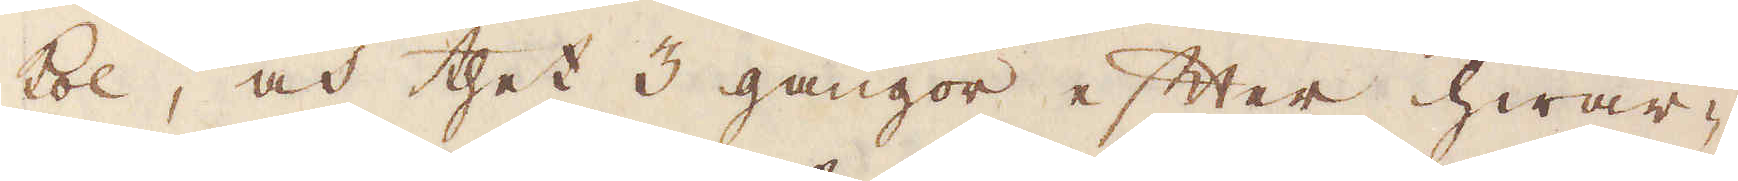kol, och thet 3 gångor efter hwar-
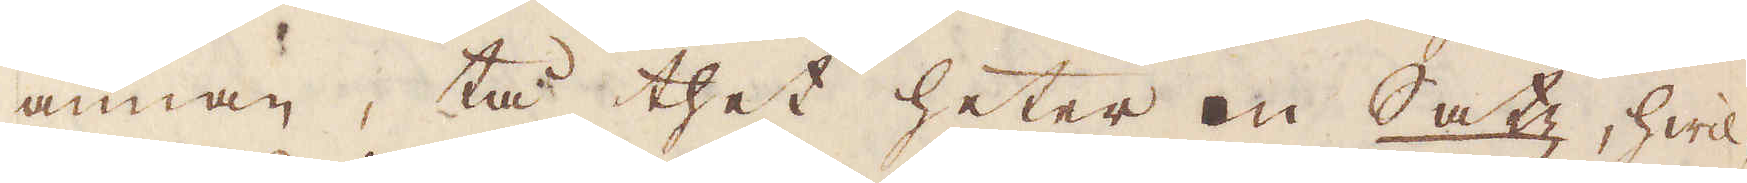annan, tå thet heter en Satz, hwil-
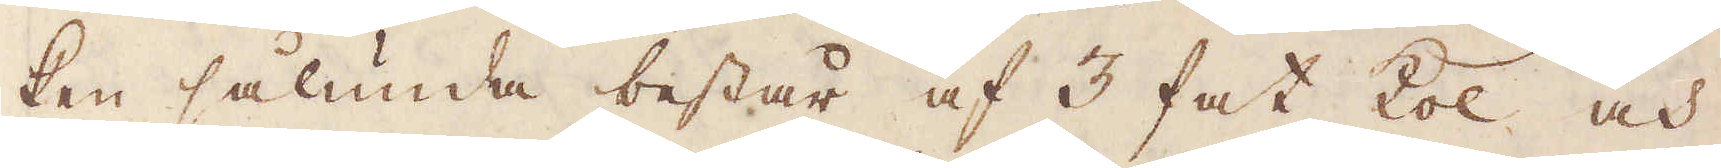ken sålunda består af 3 fat kol och
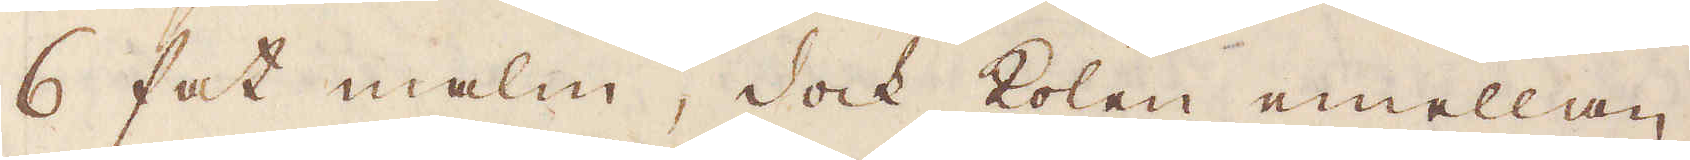6 fat malm, dock kolen emellan
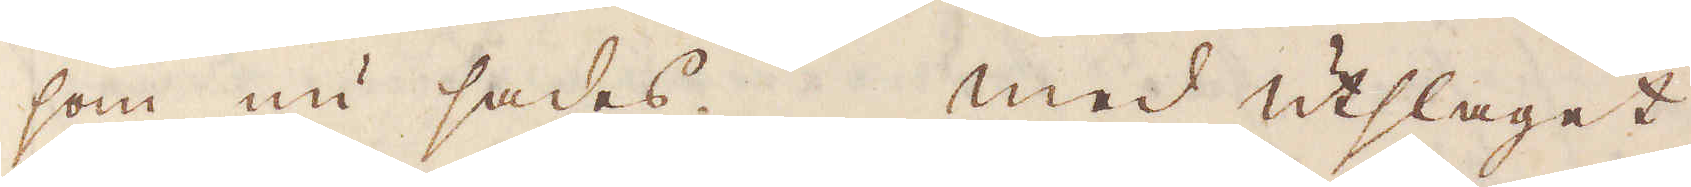som nu sades. med utslaget
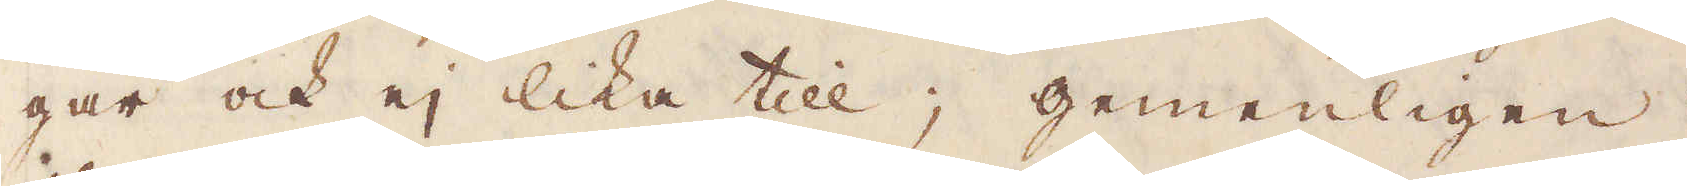går ock ej lika till; gemenligen
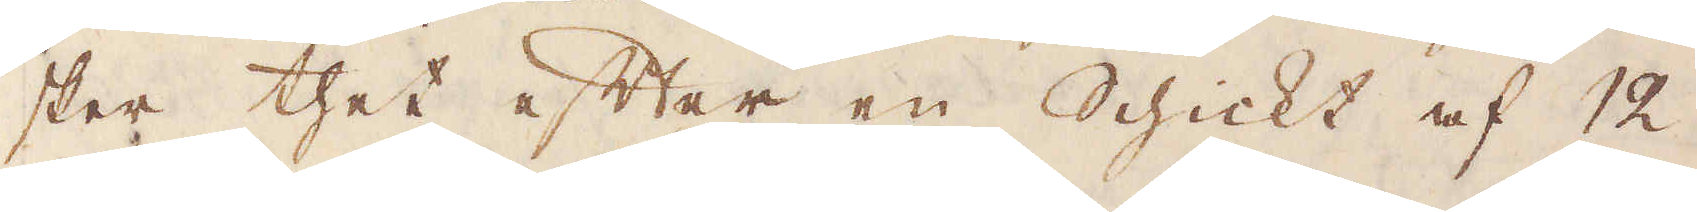sker thet efter en Schickt af 12
